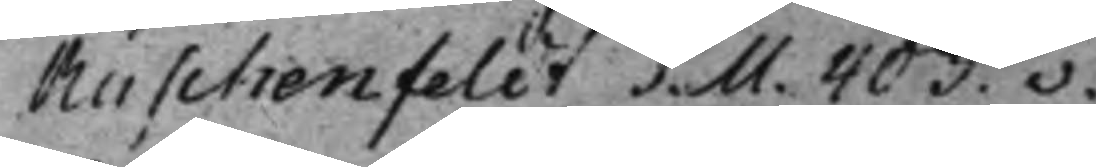Ruschenfeldt S. M. 403.v.
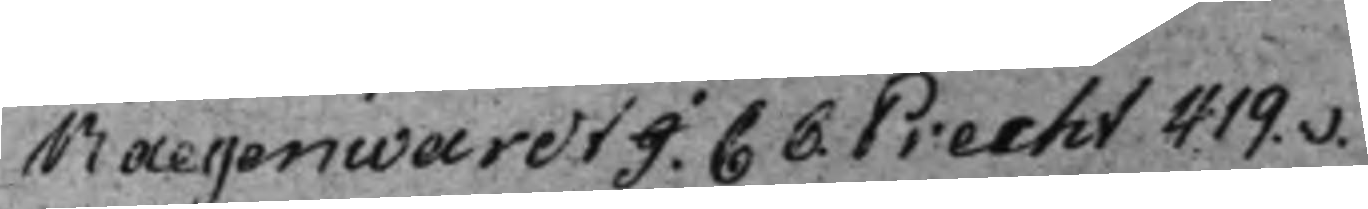Raegenwardt I. C C. Precht 419.v.
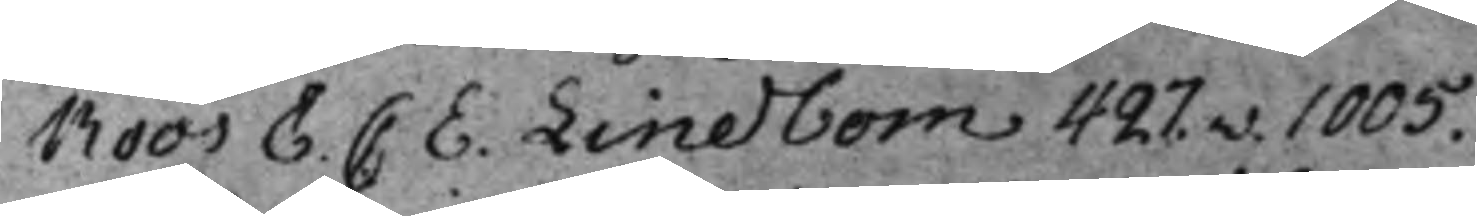Roos E. C E. Lindbom 427.v. 1005.
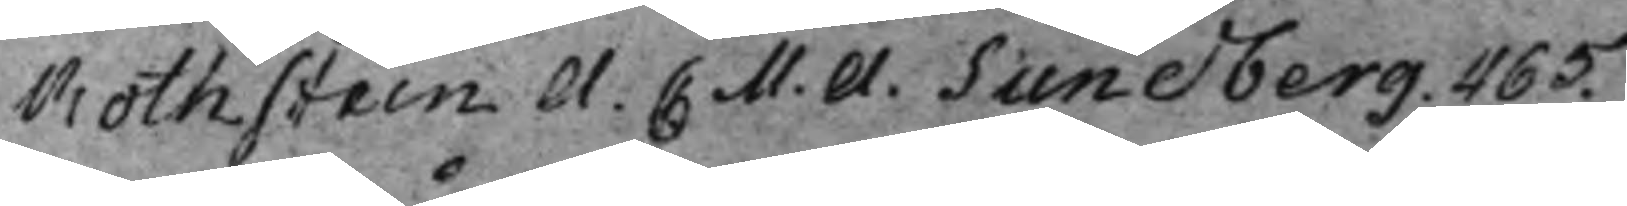Rothstein A. C. M. A. Sundberg. 465.
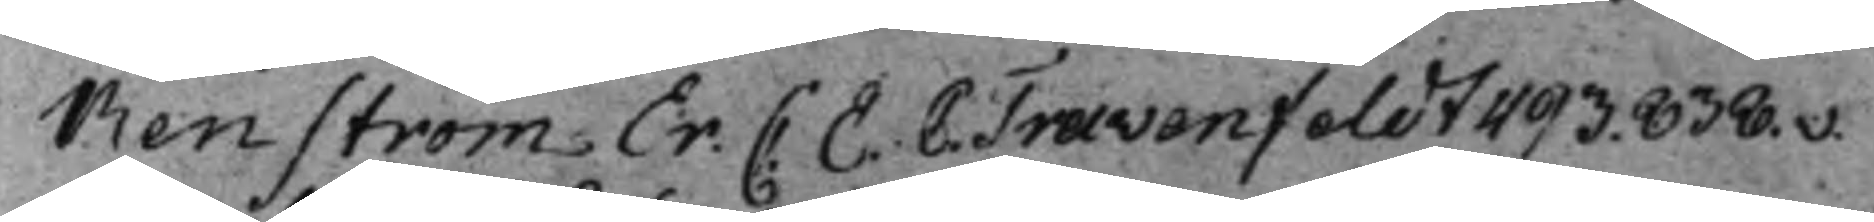Renström Er: C. E. C. Travenfeldt 493. 838.v.
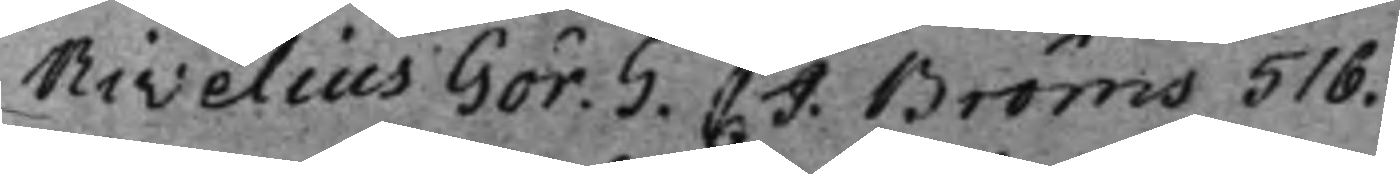Rivelius Gör. G. C J. Bröms 516.
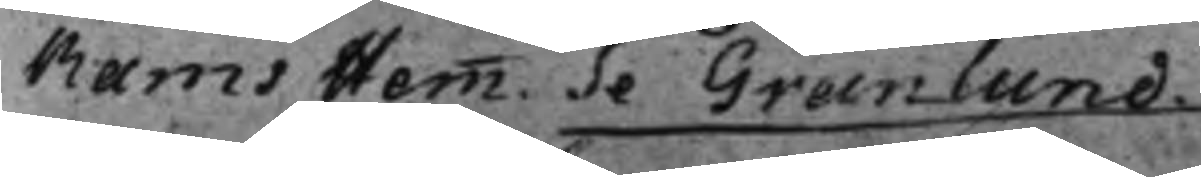Rams Hemm. Se Granlund.
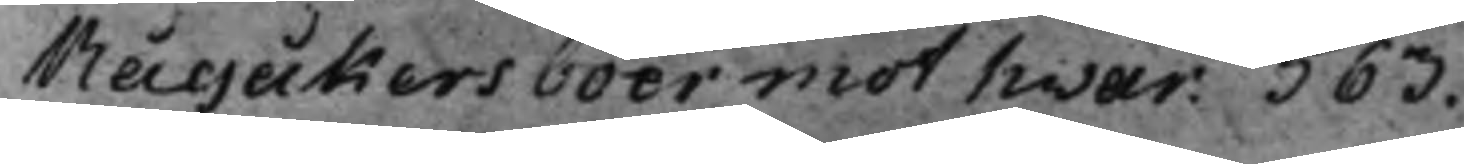Rågåkers boer mot hwar: 563.
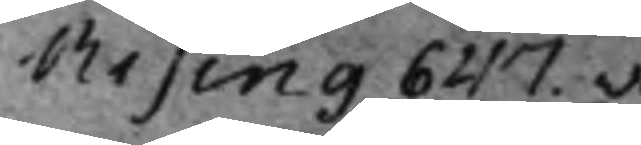Rising 647.v.
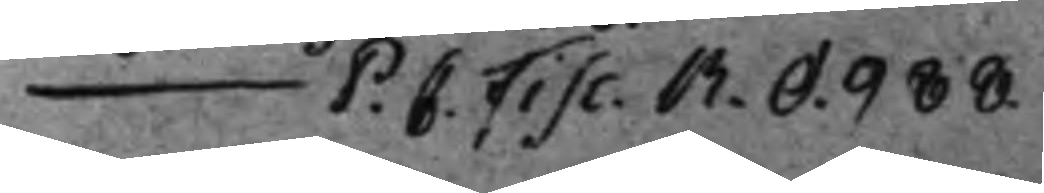— P. C. Fisc. R. O. 988.
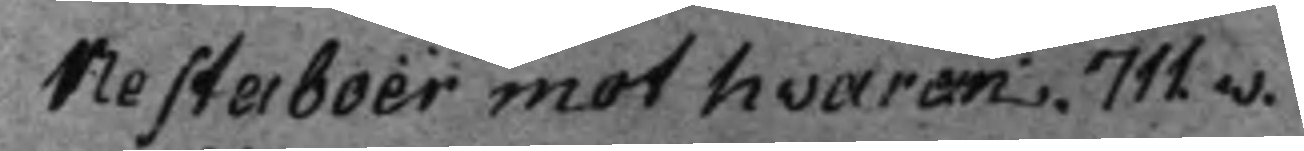Resterboër mot hvaran. 711.v.
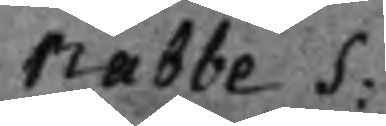Rabbe S.
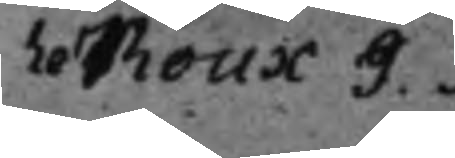Le Roux J. 
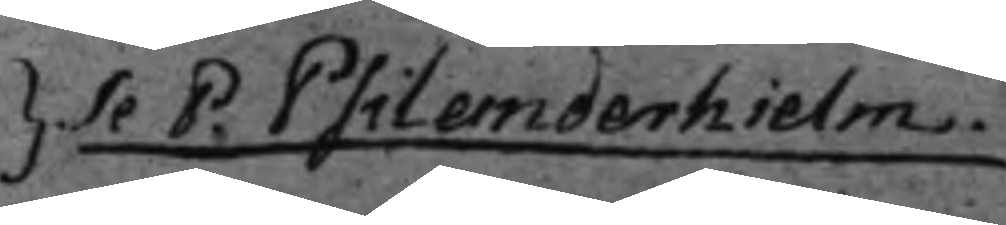} Se P. Psilanderhielm.
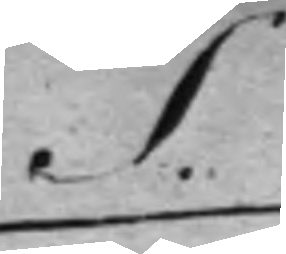S.
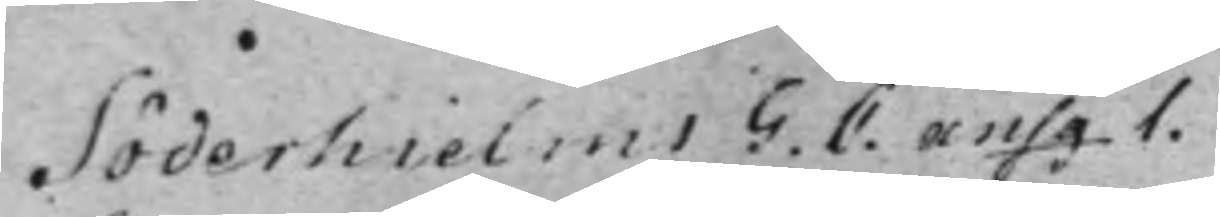Söderhielms G. C. ansg 1.
